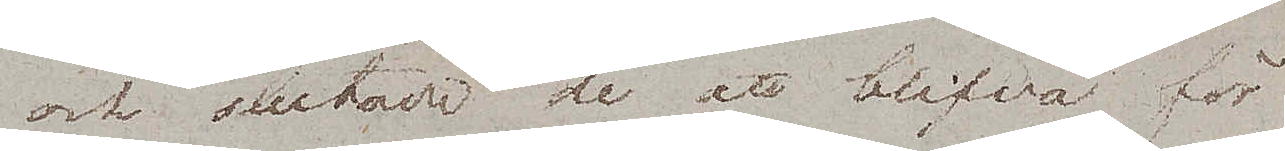och slutade de att blifva för
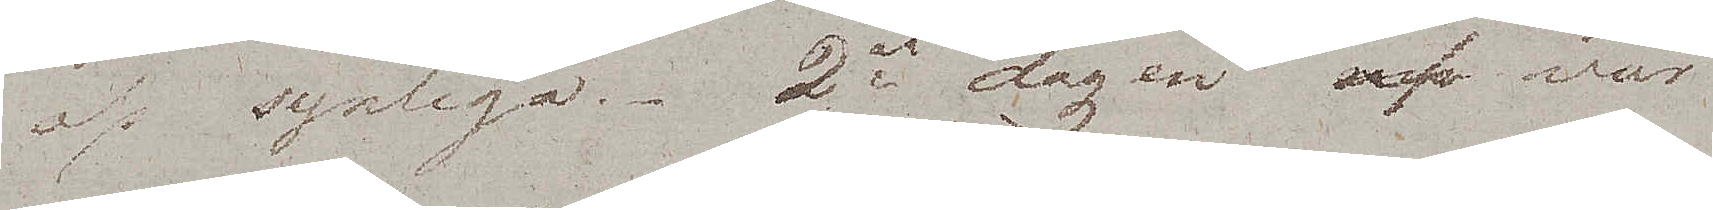oss synliga. 2ra dagen af vår
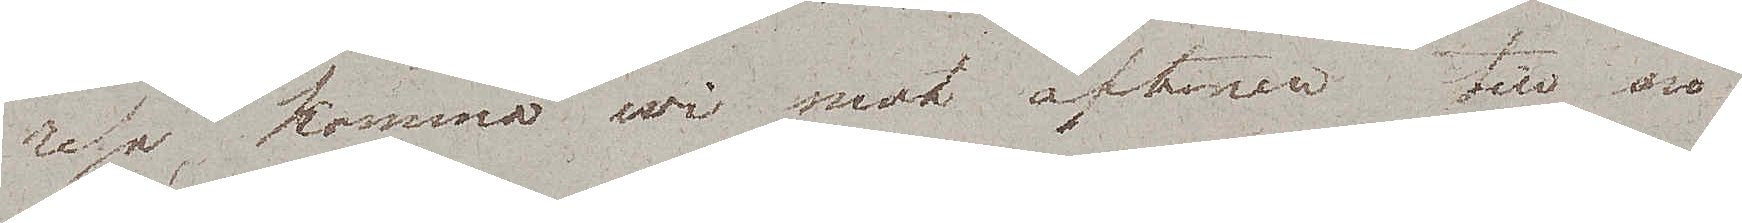resa, komma wi mot aftonen till en
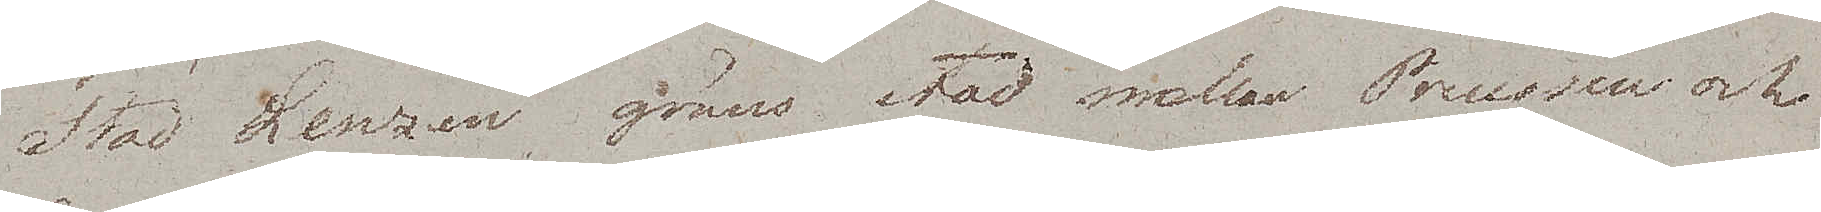Stad Lenzen gräns stad mellan Preussen och
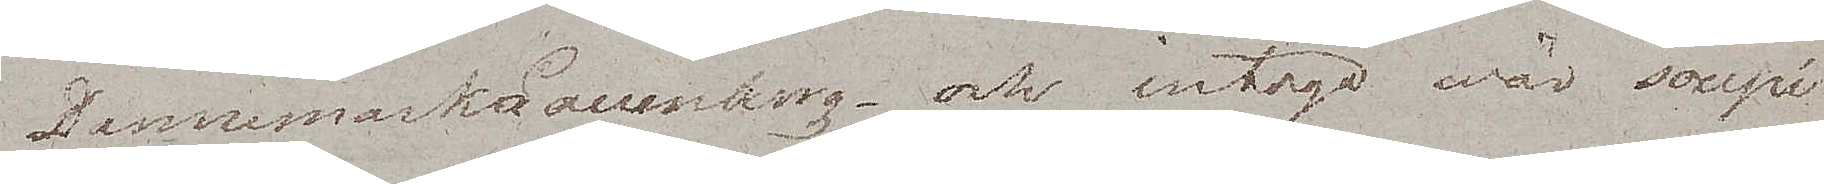Dannemark- Lauenburg – och intogo wår soupé
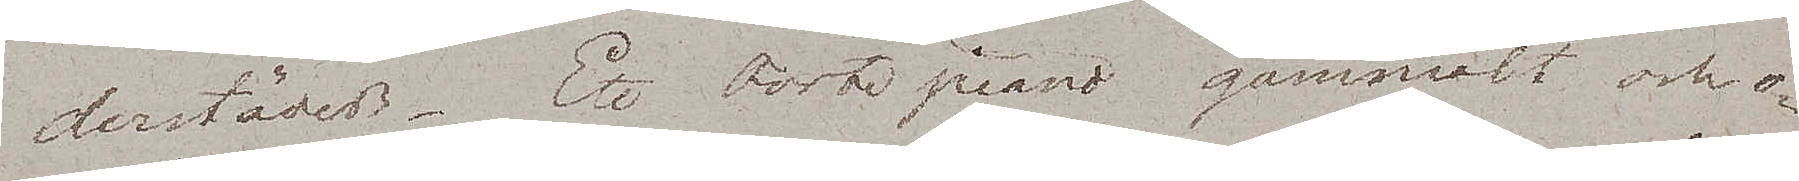derstädes. Ett Forte piano gammalt och o¬
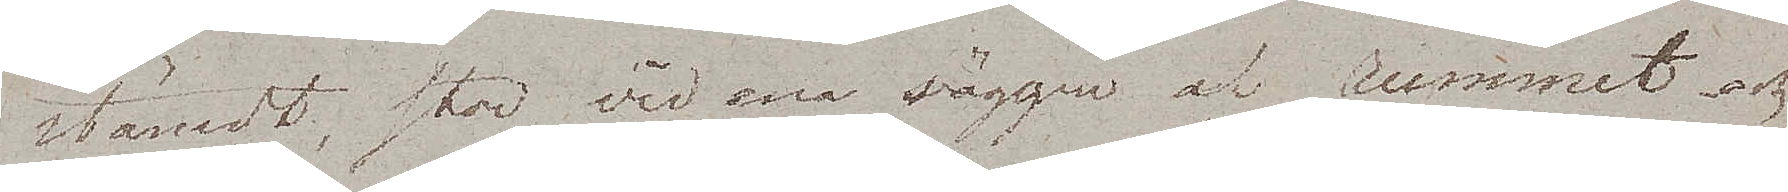stämdt, stor vid ena väggen af rummet och
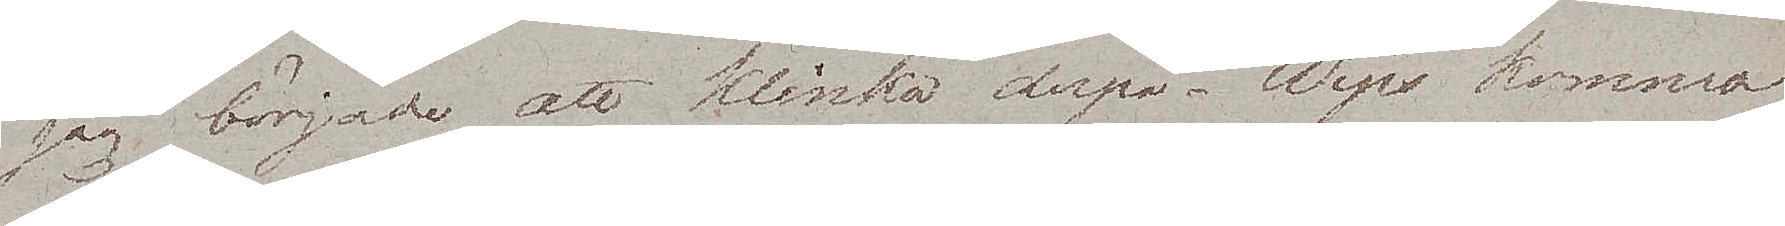jag började att klinka derpå. Wips kommo
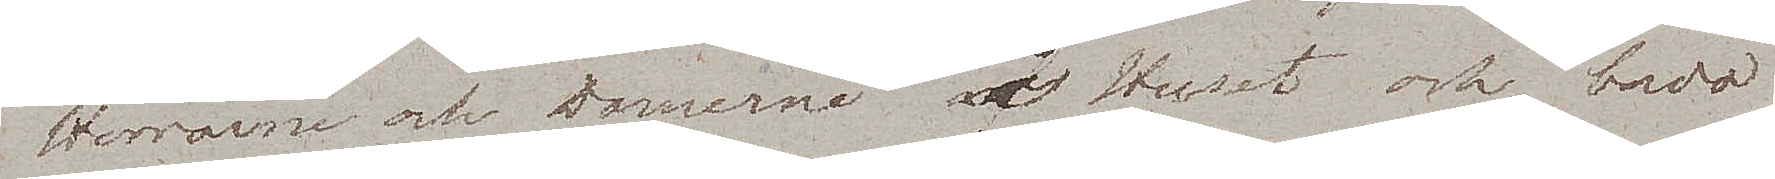Herrarne och Damerne i Huset och bådo
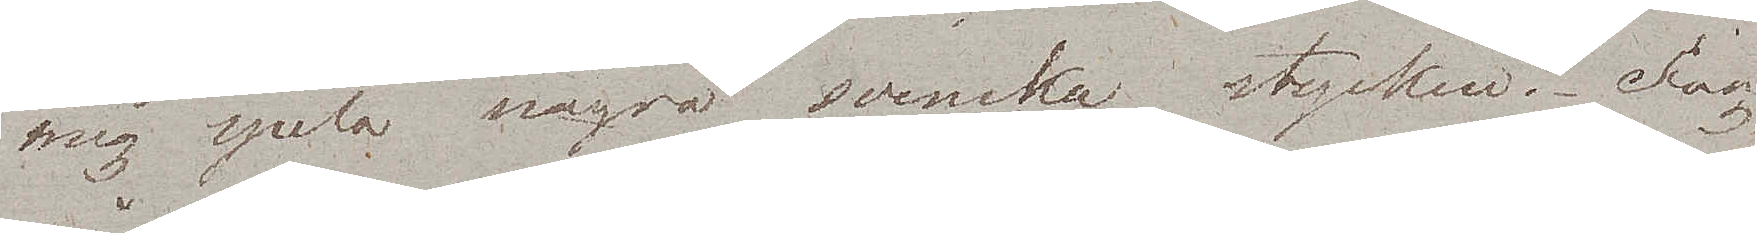mig spela några svenska stycken. Jag
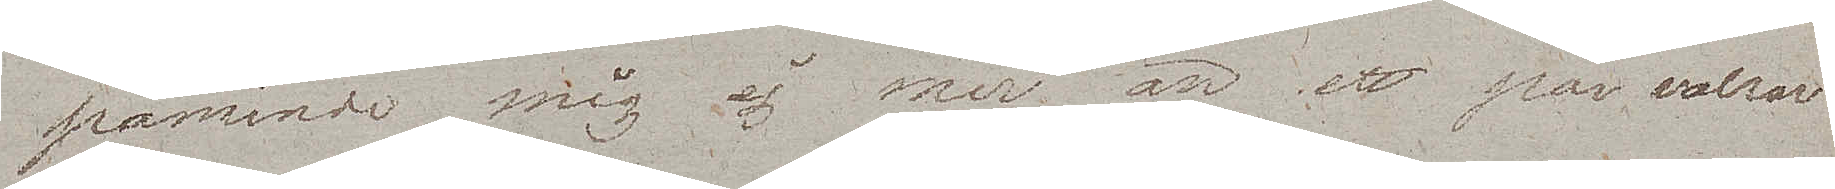påminde mig ej mer än ett par valser
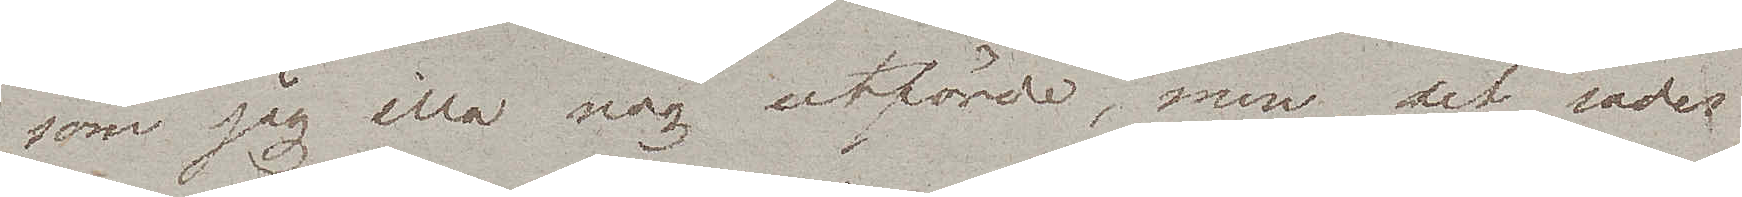som jag illa nog utförde, men det sades
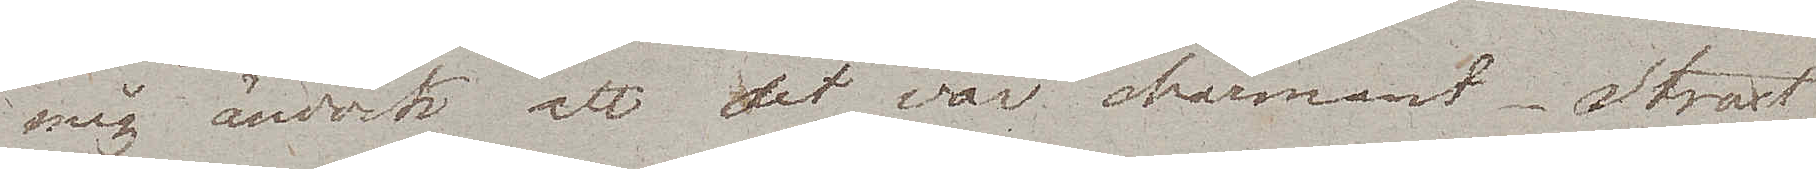mig ändock att det var charmant. Straxt
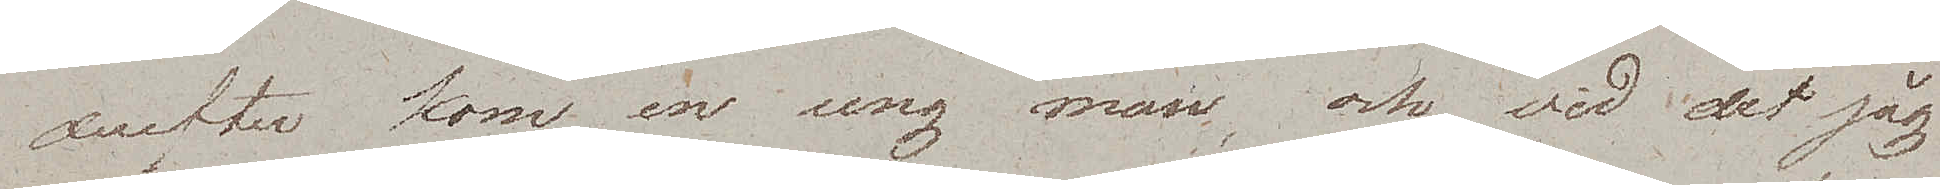derefter kom, en ung man, och vid det jag
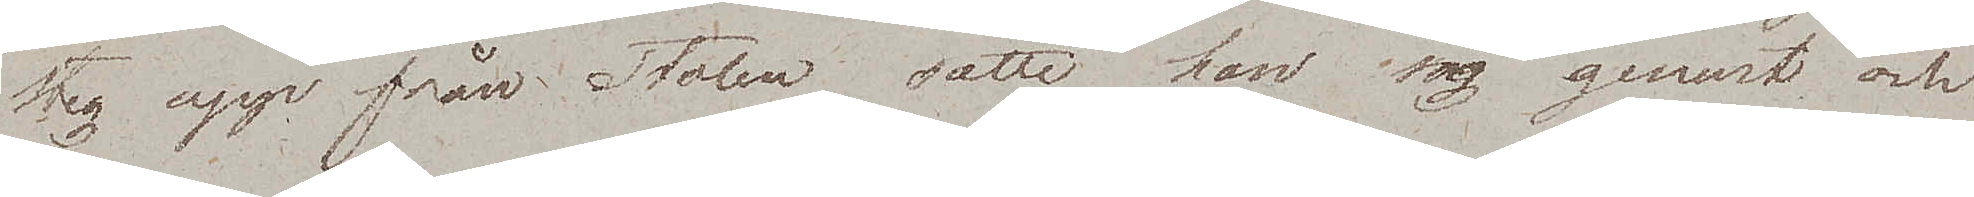steg upp från Stolen,  satte han sig genast och
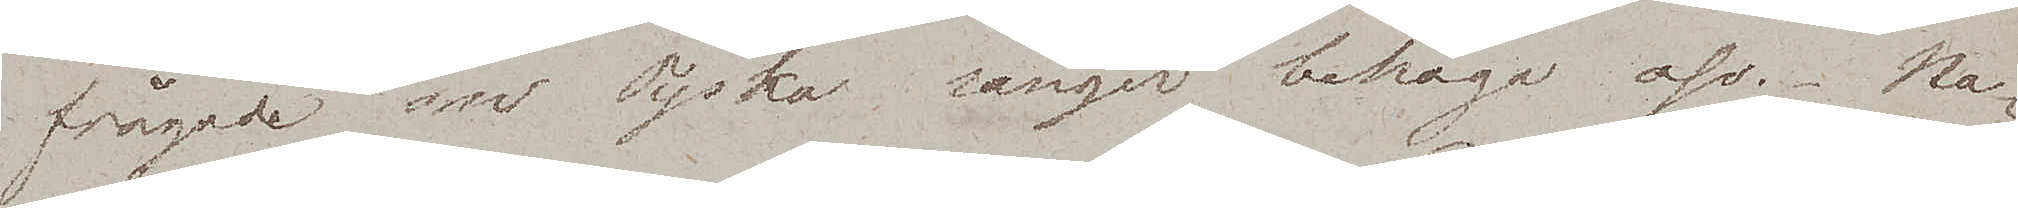frågade om Tyska sånger behaga oss. Na¬
